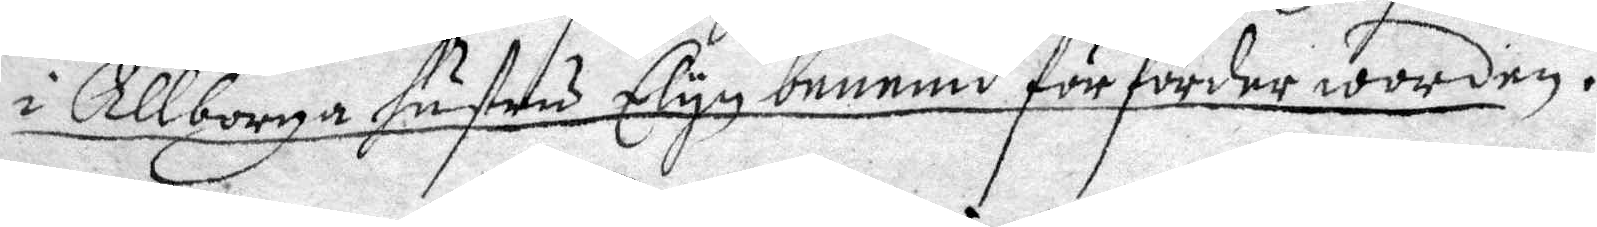i Allborga hustru Elyn benemnd förförder worden.
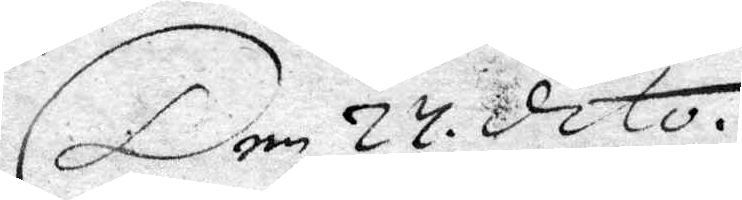Den 27 dito.
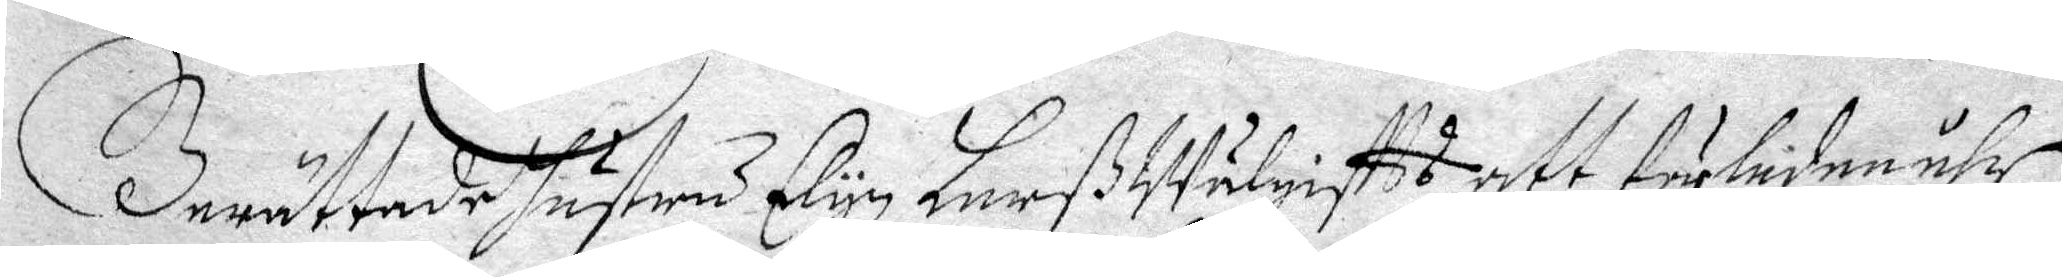Berättade hustru Elyn Larß Wälgiftts att förledne åhr
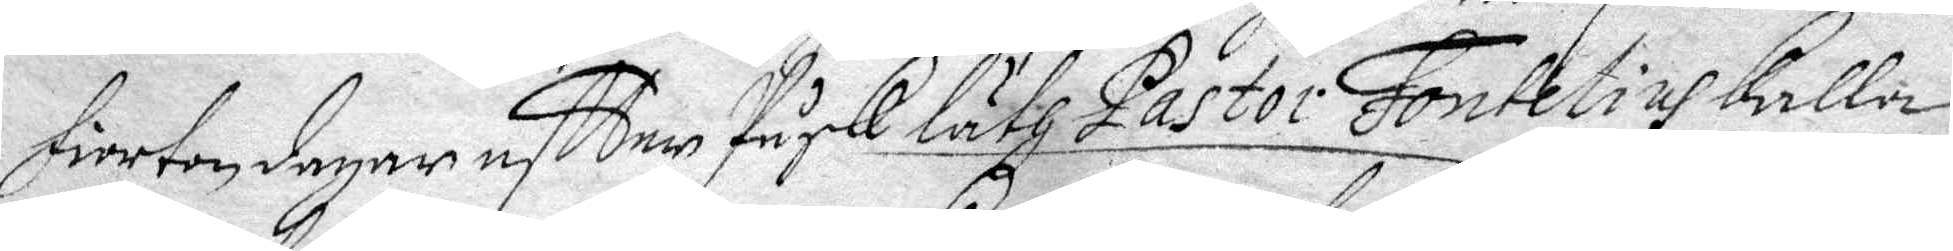fiorton fagar eftter Påsk läth Pastor Fontelius kalla
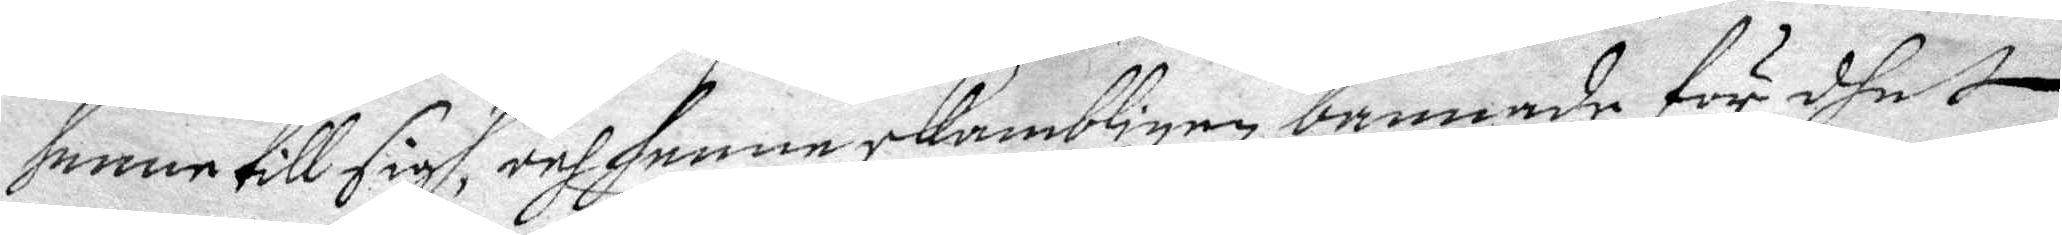henne till sigh, och henne skambligen bannade för dhet
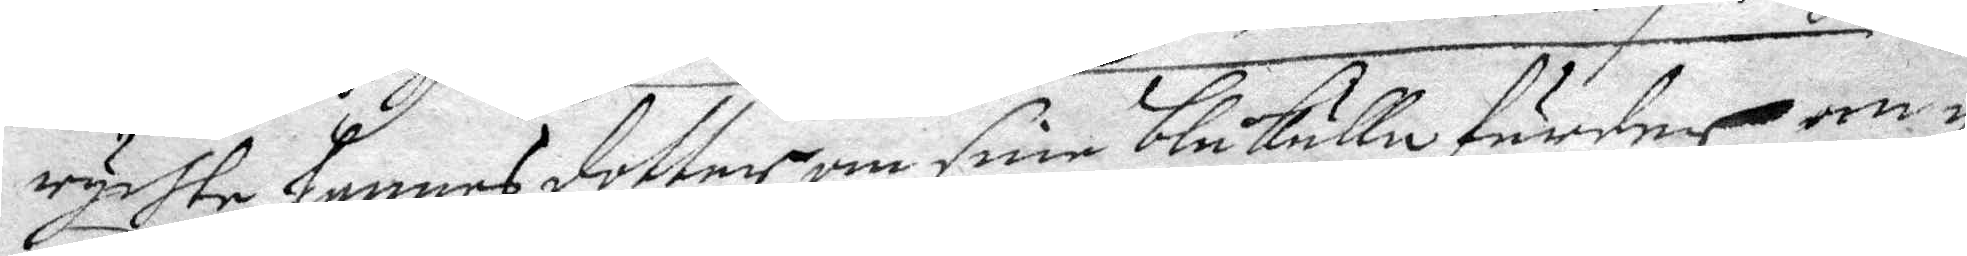rychte hennes dotter om sine blåkullafärder om¬
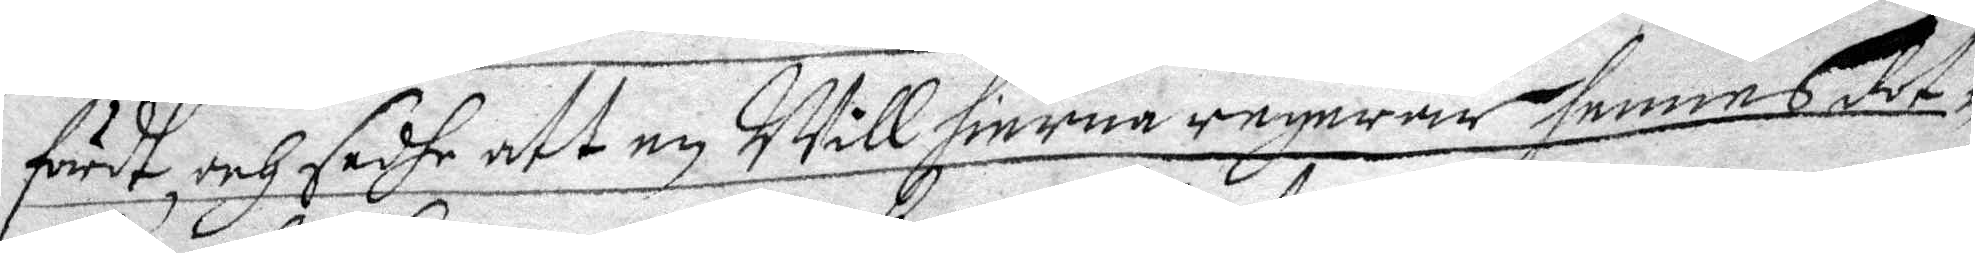fördt, och sadhe att en Will hinrea regerar hennes dot¬
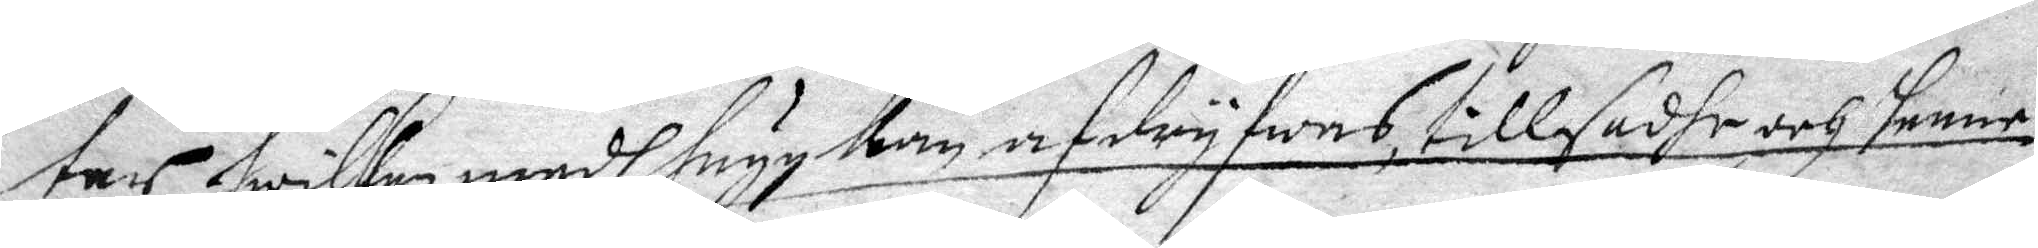ter, hwilken medh hugg kan afdryfas, tillsadhe och henne
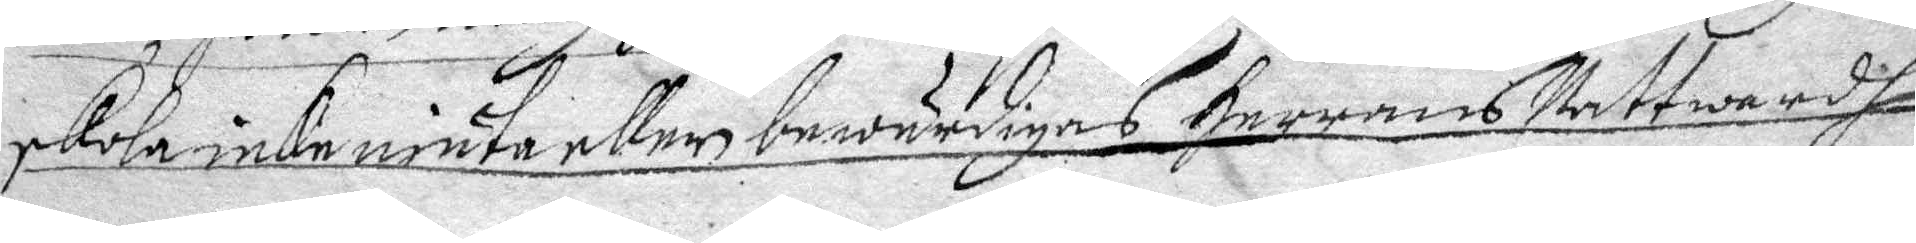skola icke niuta eller bewärdigas Herrans Nattwardh
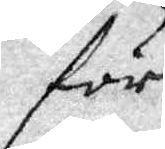för
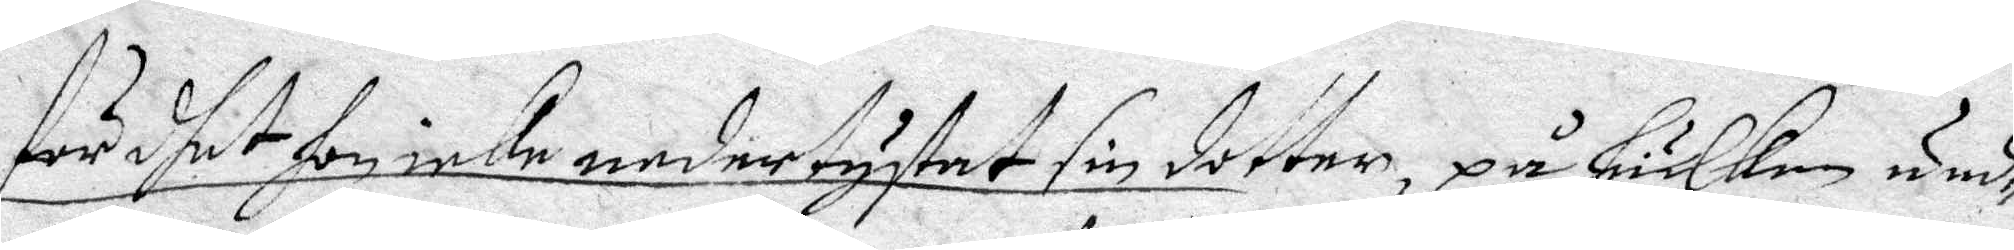för dhet hon icke nedertystat sin dotter, på huilken und¬
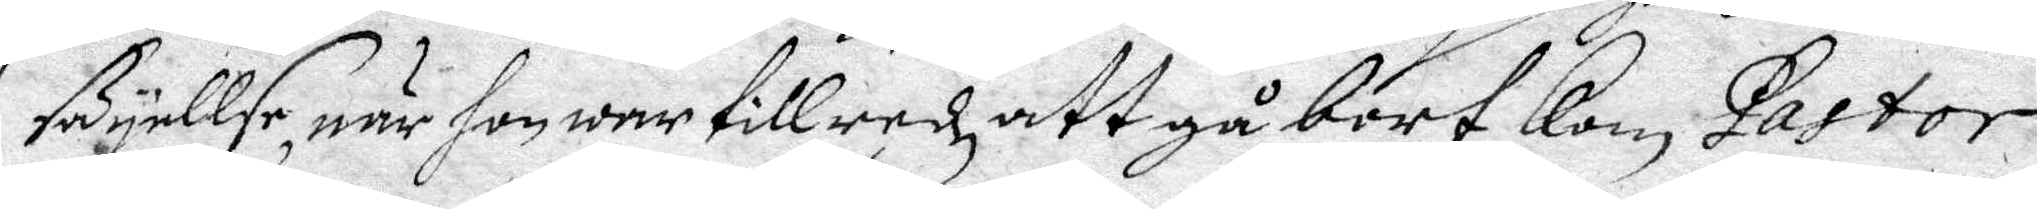säyellse, när hon war tillredz att gå bort kom, Pastor
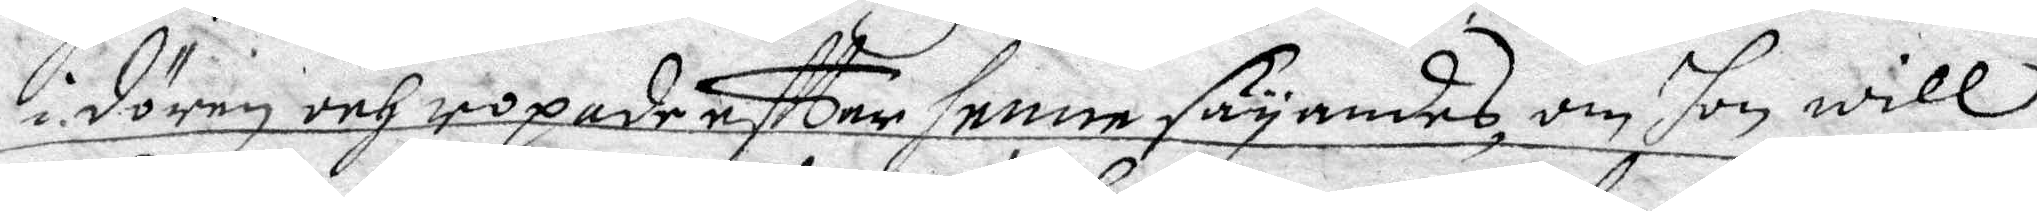i dören och ropade eftter henne säyandes, om hon will
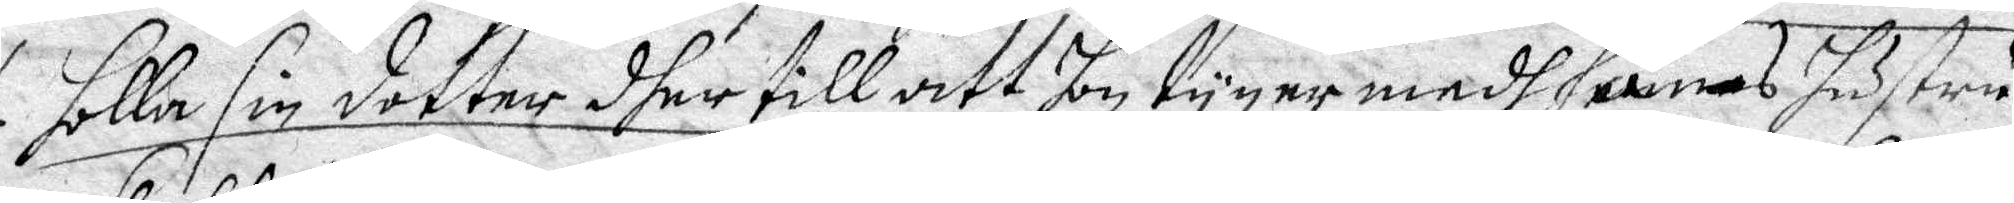holla sin dotter dher till att hon tyger medh hans hustru
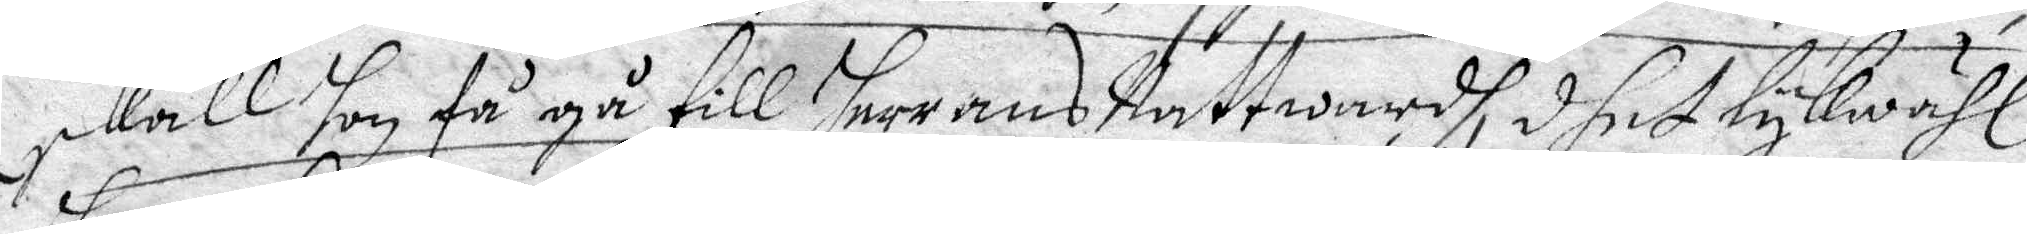skall hon få gå till Herrans Nattward, dhet lykwähl
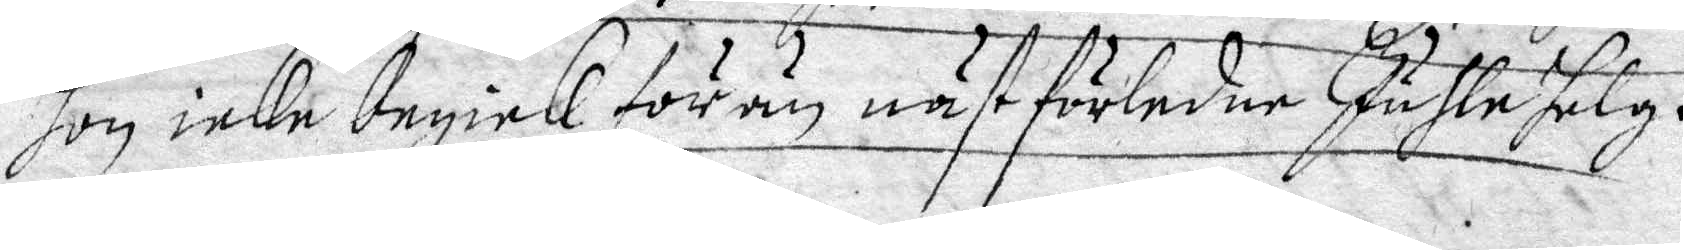hon icke begick förrän näst förledne Juhlehelg.
